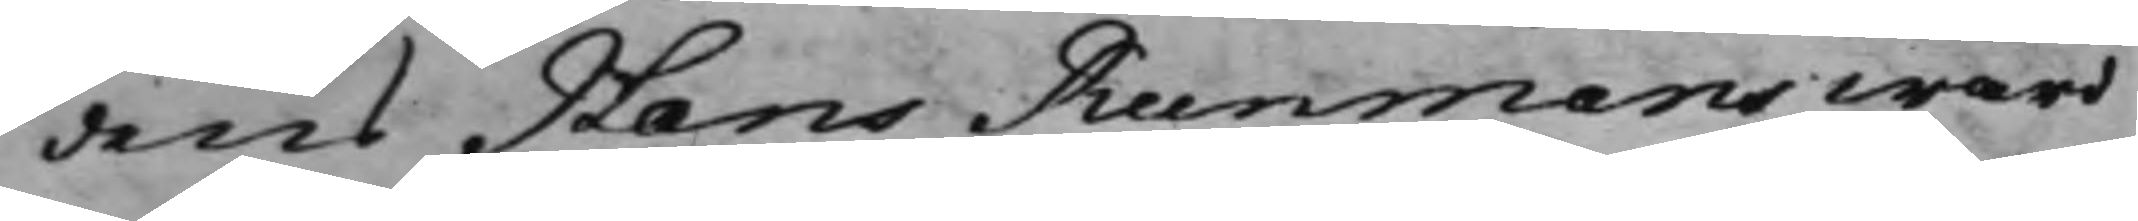dens Hans Runmans wård
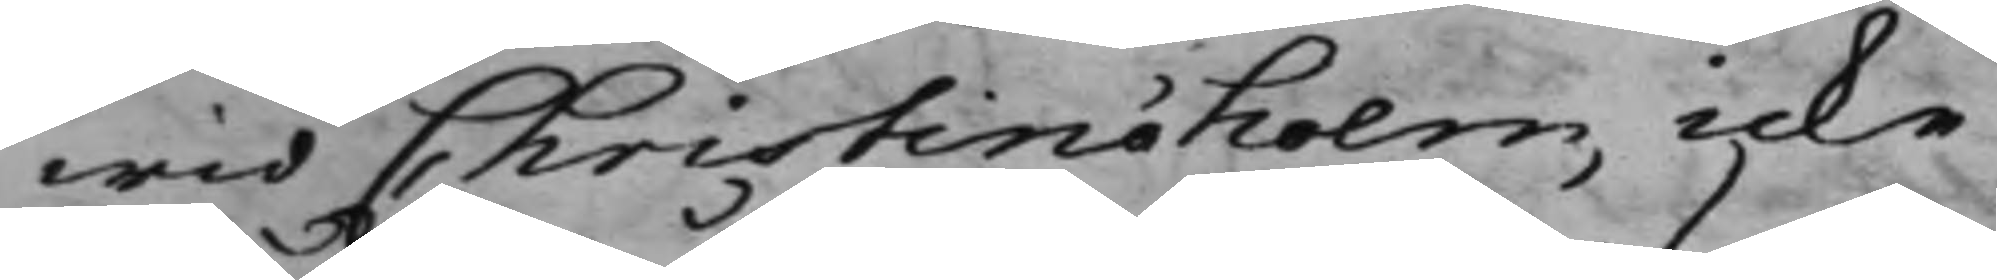wid Christinæholm, icke
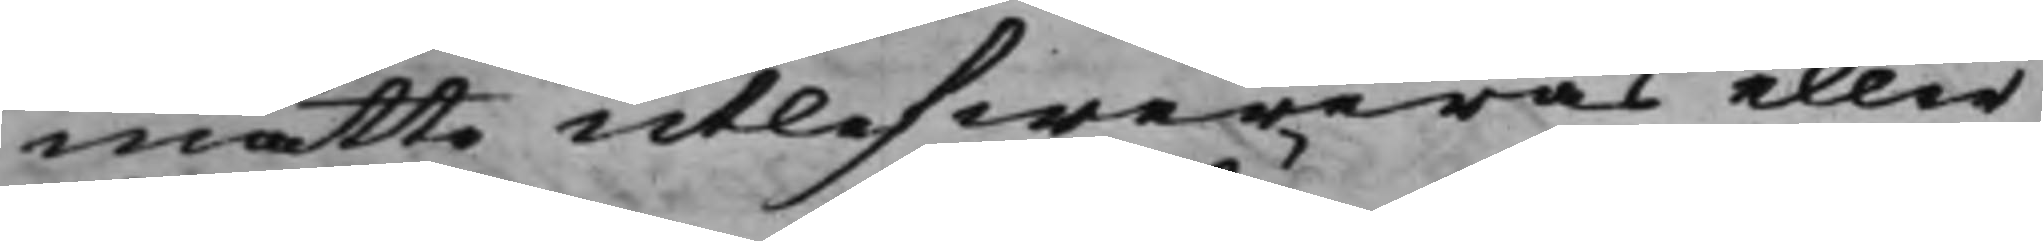måtte utlefwereras eller
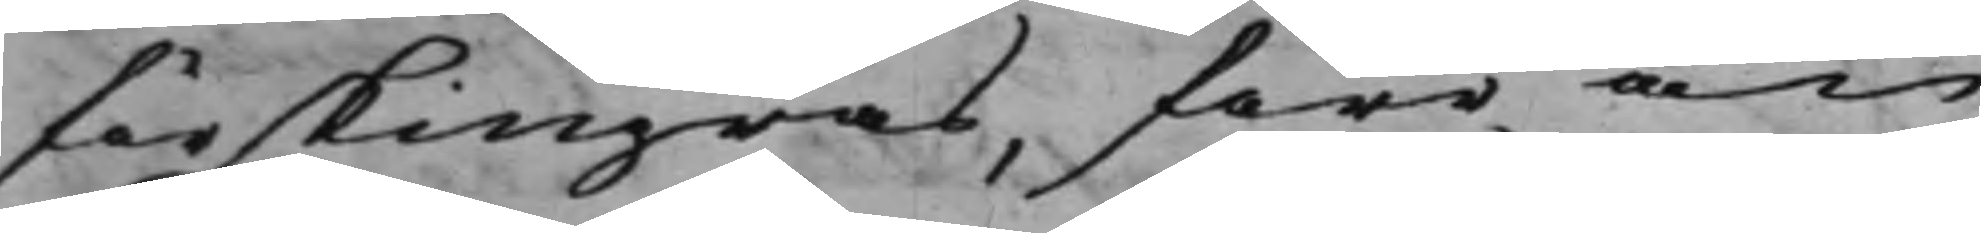förskingras, före än
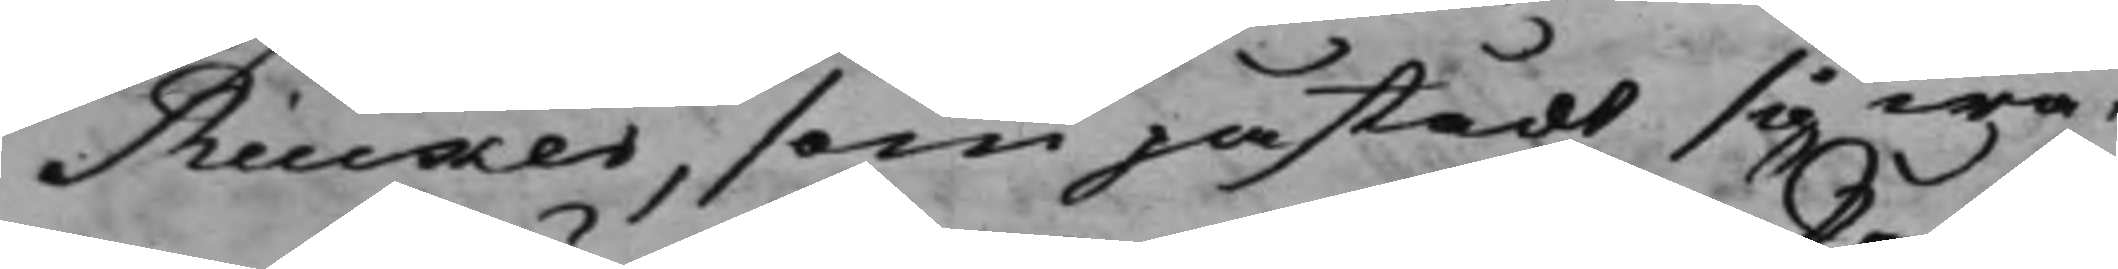Rücker, som påstådt sig wa¬
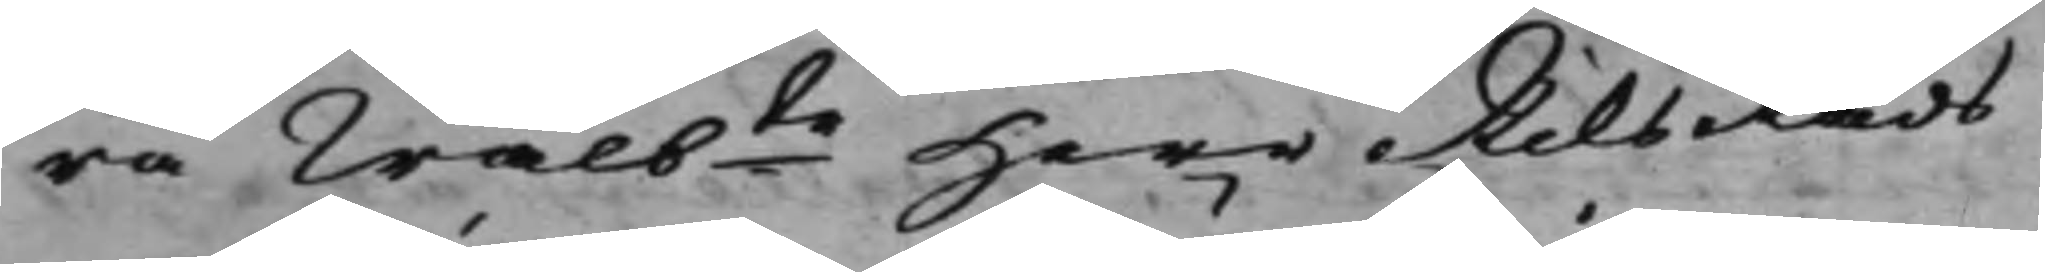ra Wälbte Herr RiksRåds
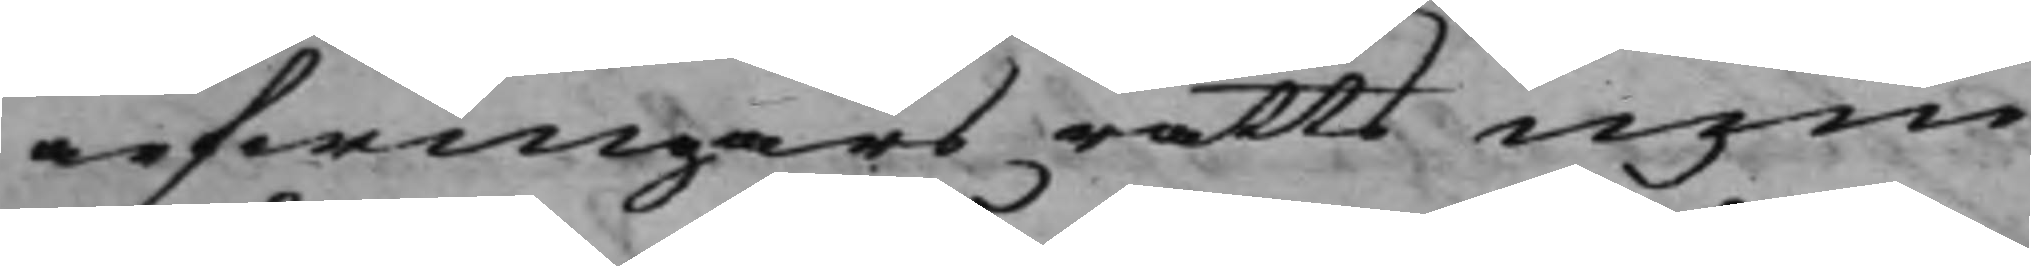arfwingars rätts inne¬
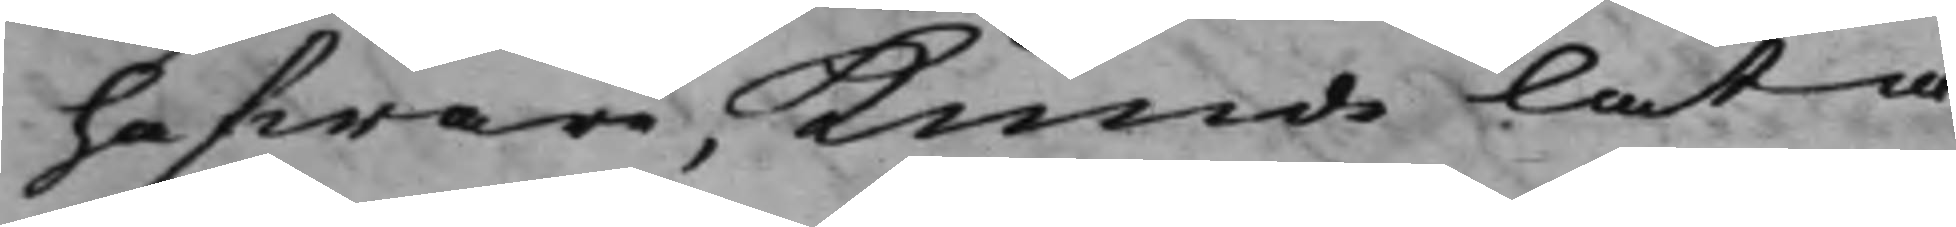hafware, kunde låta
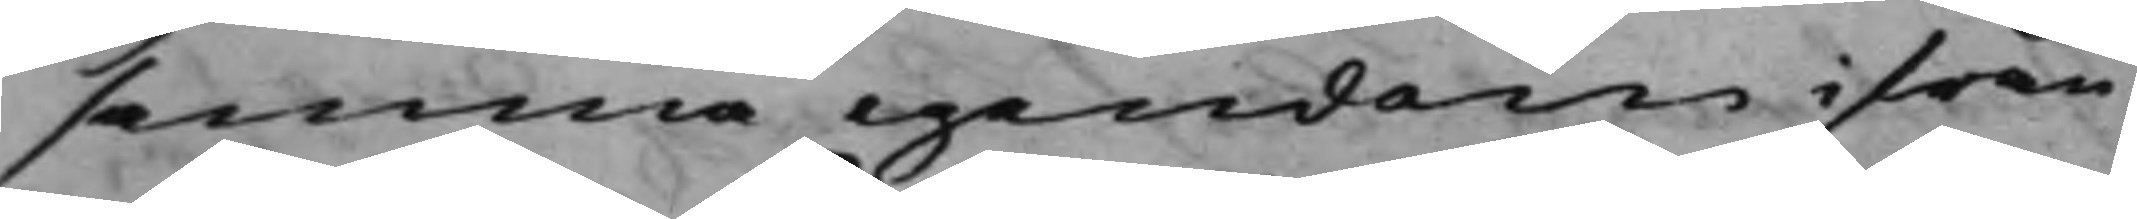samma egendom ifrån
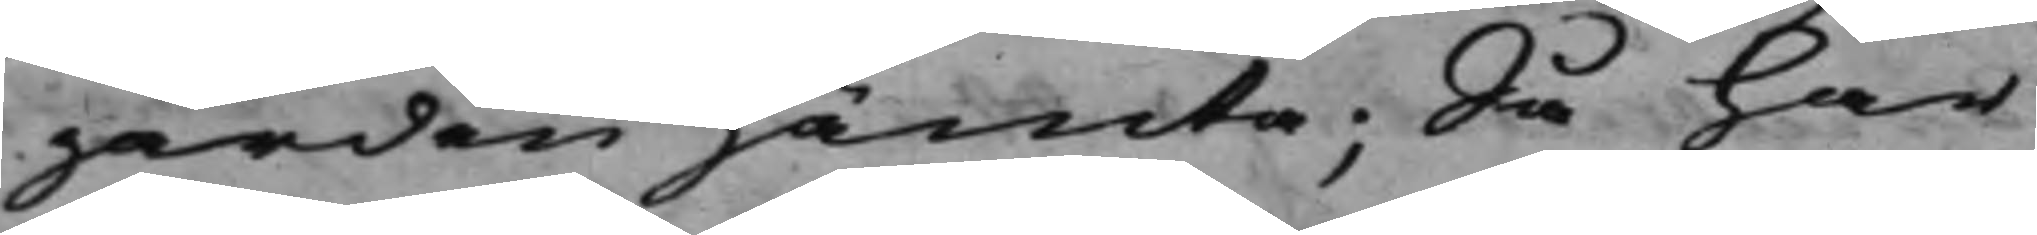gården hämta; Så har
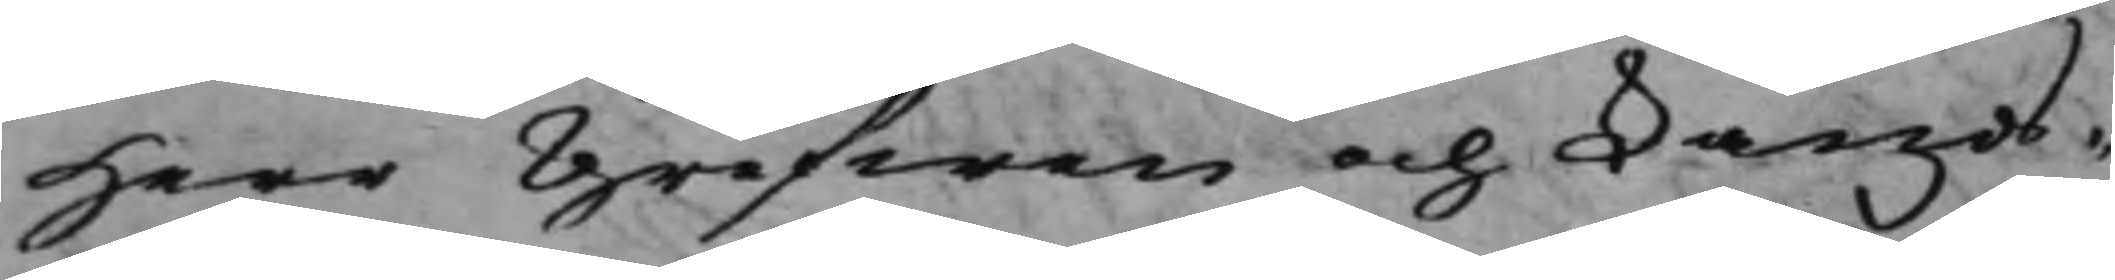Herr Grefwen och Lands¬
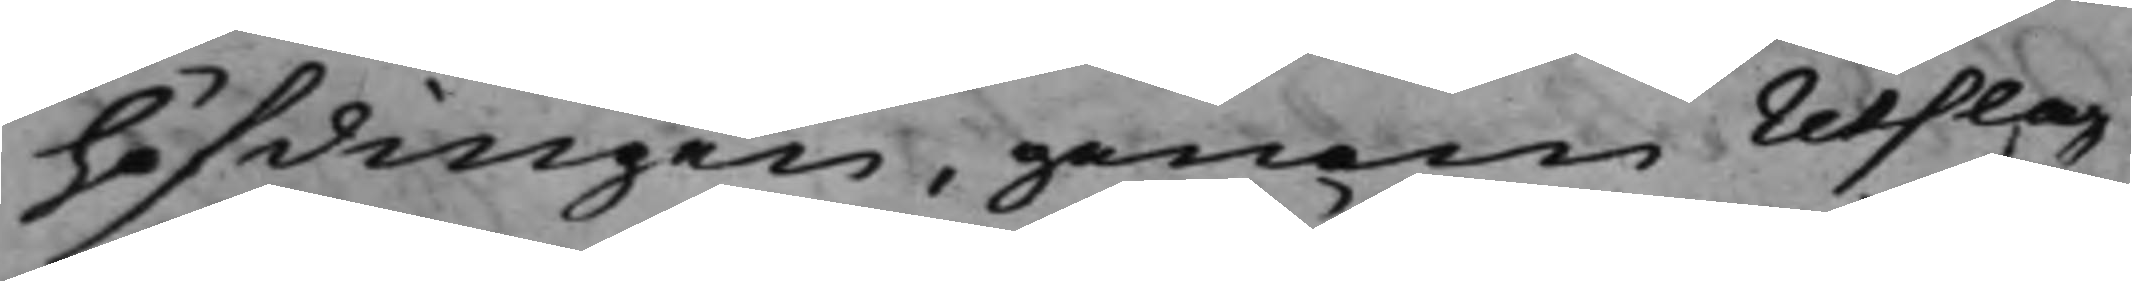höfdingen, genom Utslag
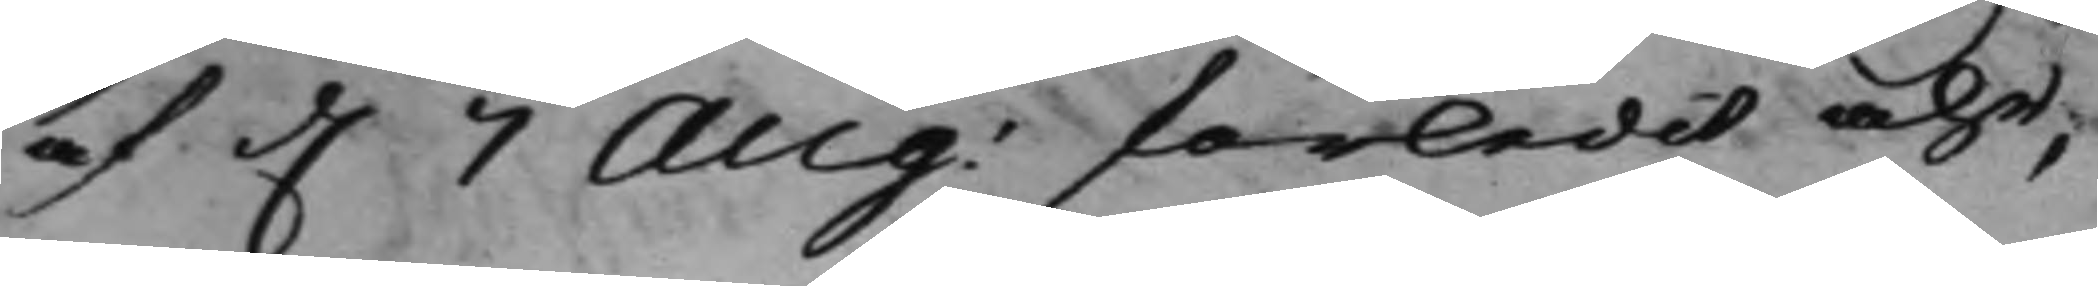af d. 7 Aug: förledit åhr,
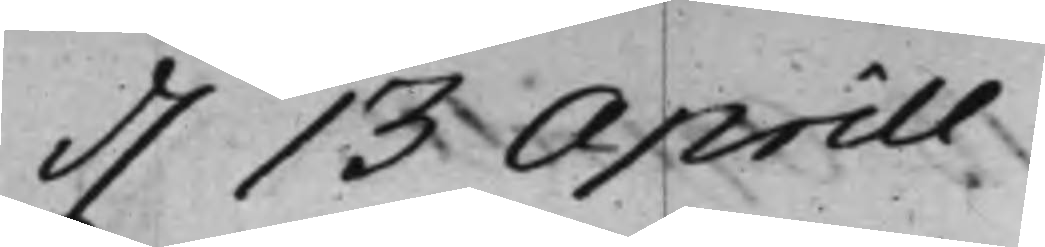d. 13 Aprill
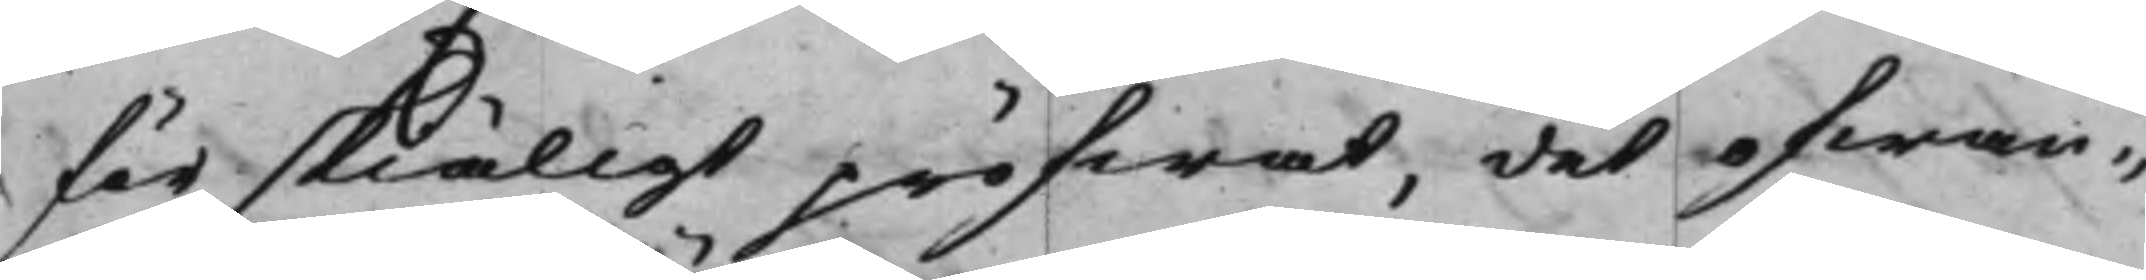för skiäligt pröfwat, det ofwan¬
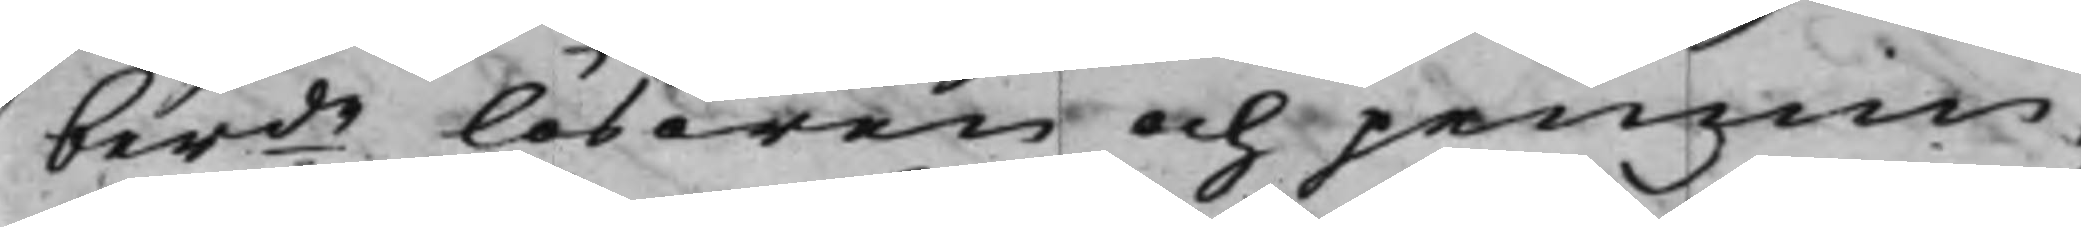berde lösören och pennin¬
